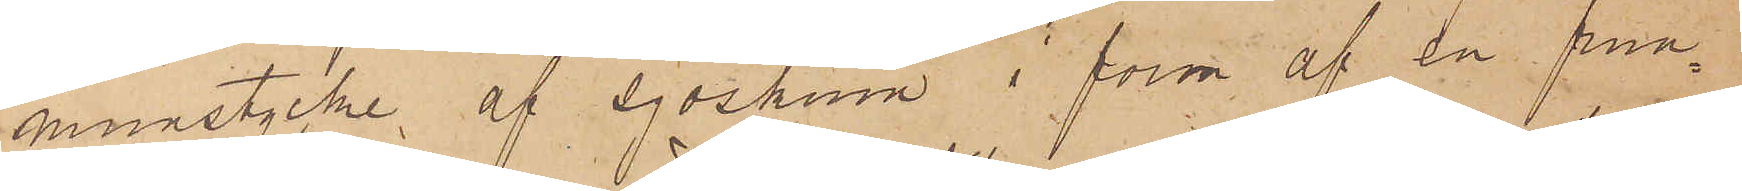munstycke af sjöskum i form af en frun¬
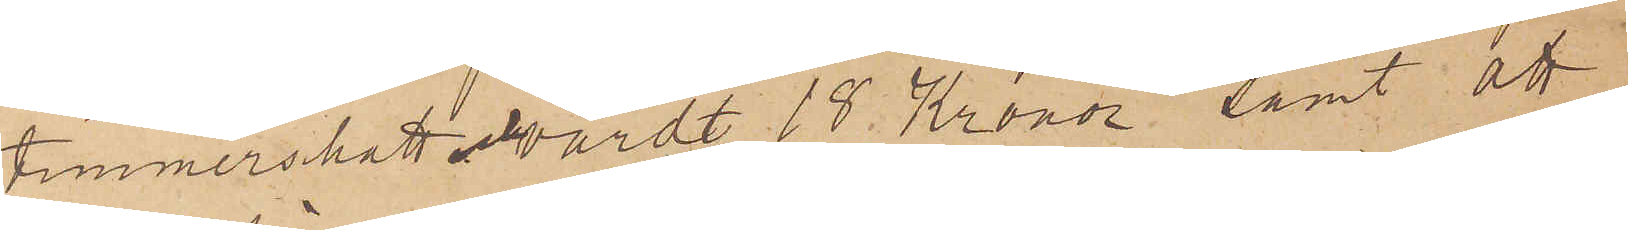timmershatt och värdt 18 Kronor samt att
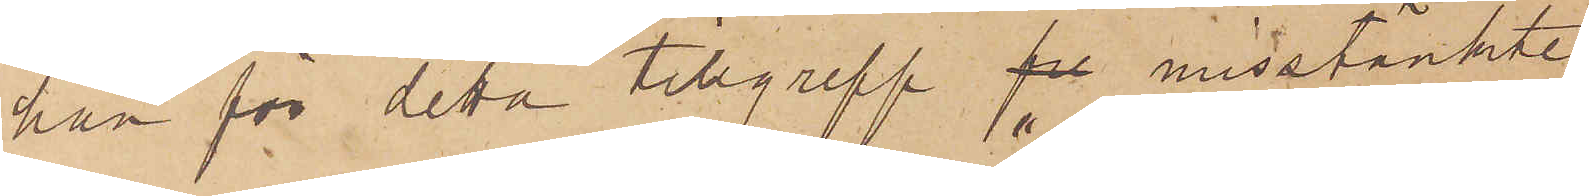han för detta tillgrepp fre misstänkte
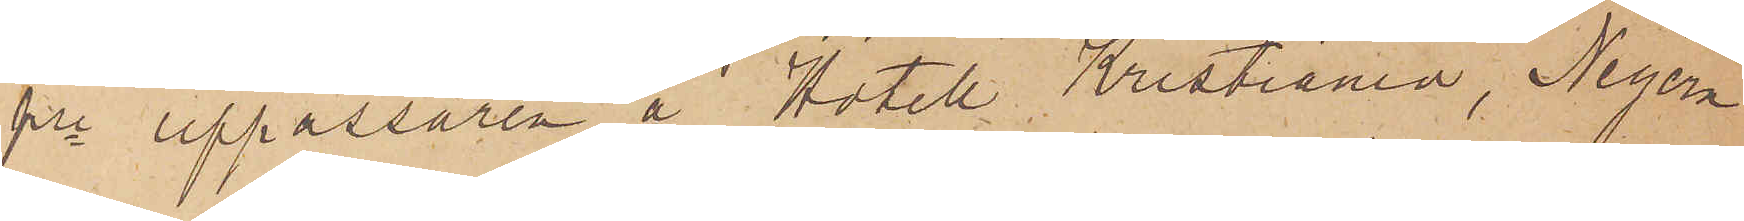fre uppassaren å "Hotell Kristiania", Negern
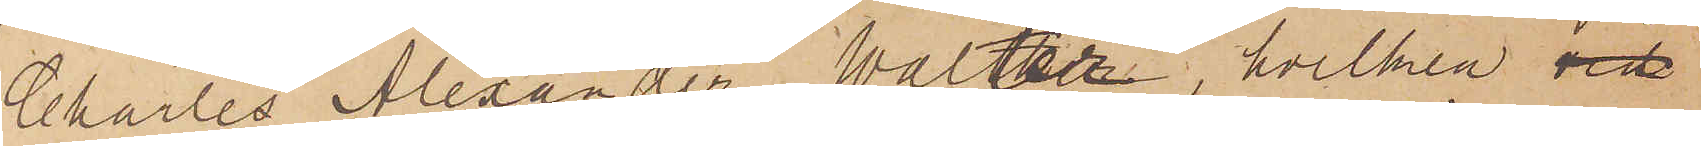Charles Alexander Walter, hvilken vid
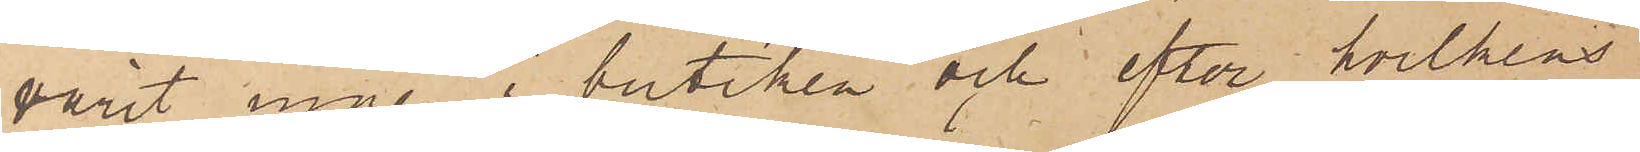varit inne i butiken och efter hvilkens
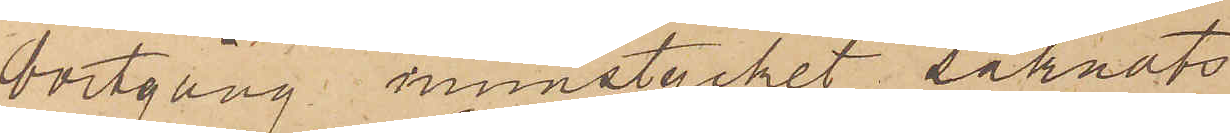bortgång munstycket saknats.
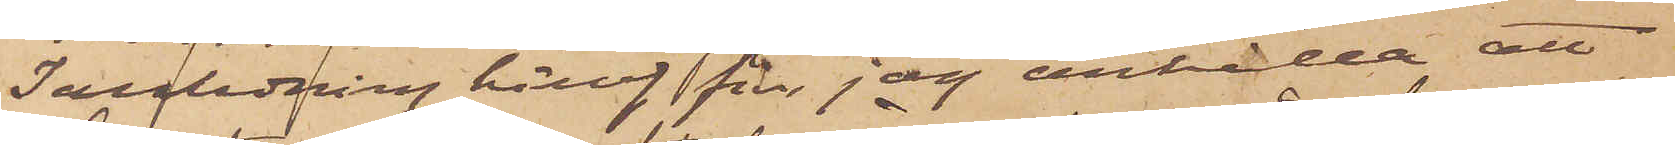I anledning häraf får jag anhålla att
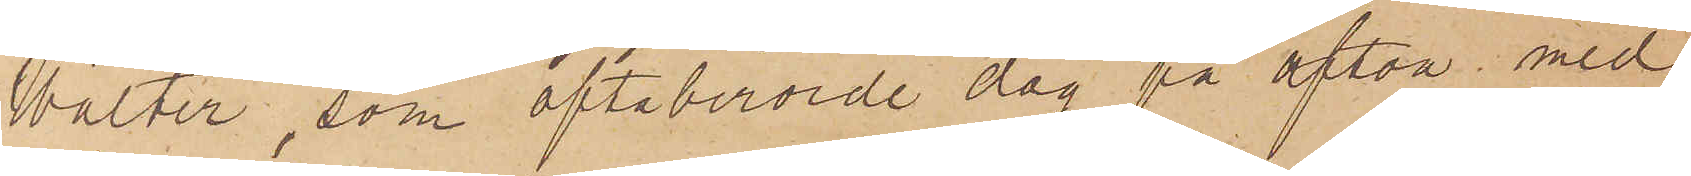Walter, som oftaberörde dag på afton med
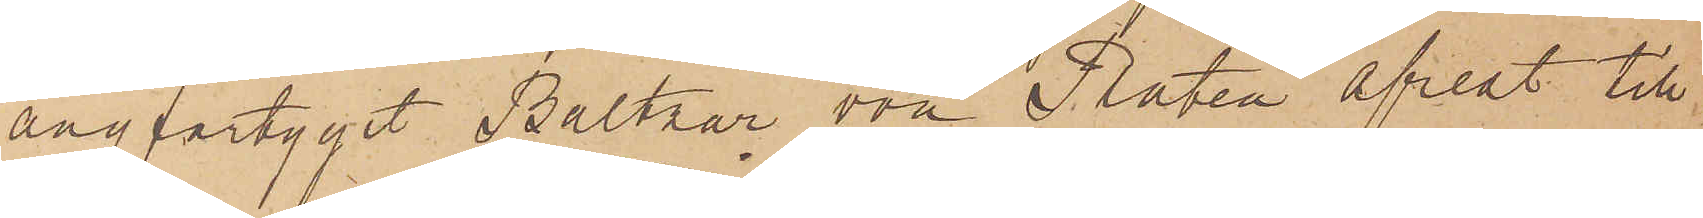ångfartyget Baltzar om Platen afrest till
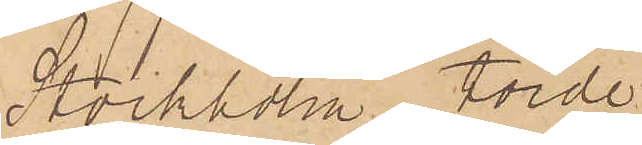Stockholm torde
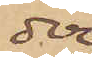der
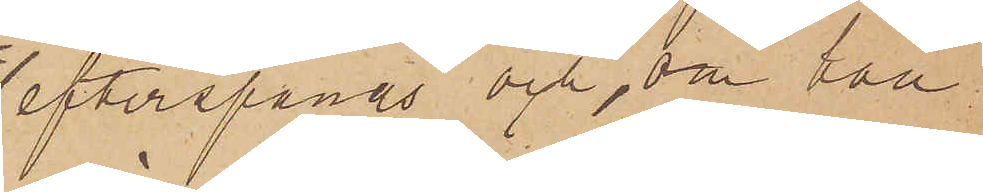efterspanas och, om han
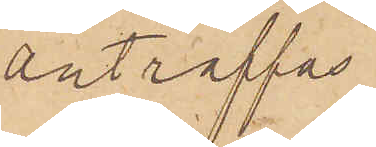anträffas
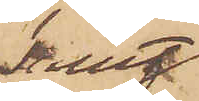samt
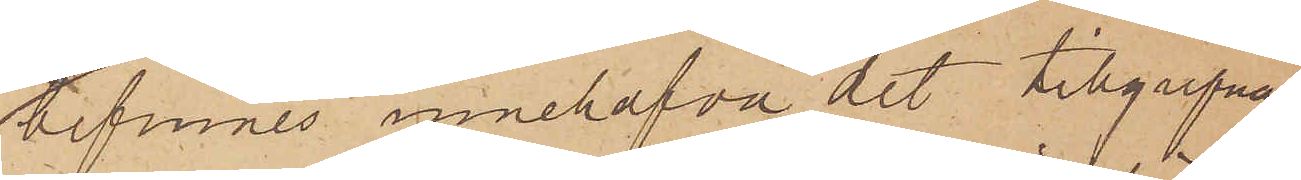befinnes innehafva det tillgripna
